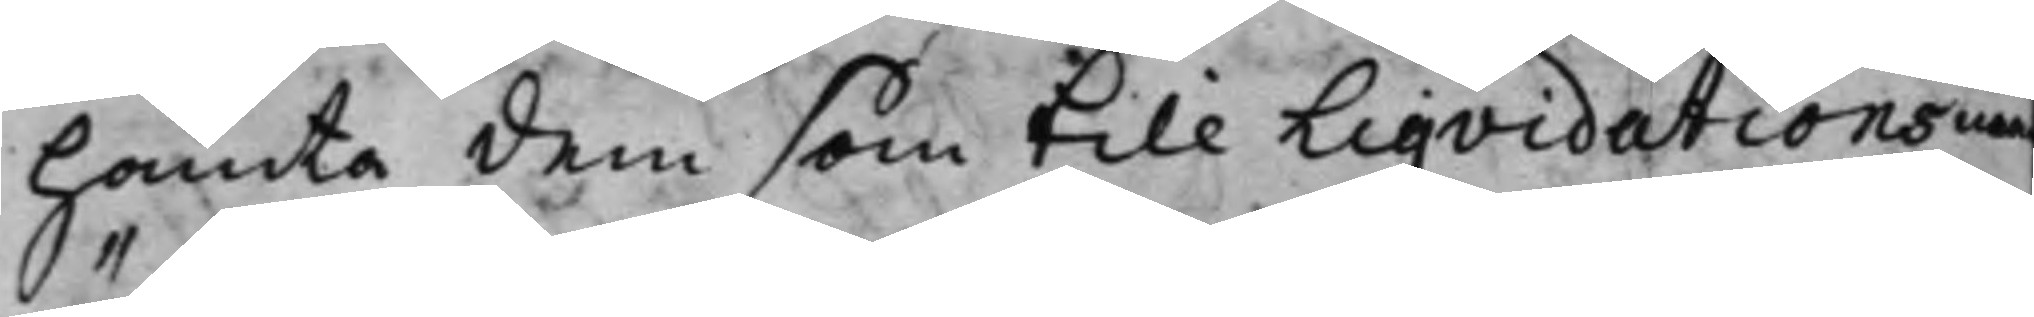hämta dem som till Liqvidationsm
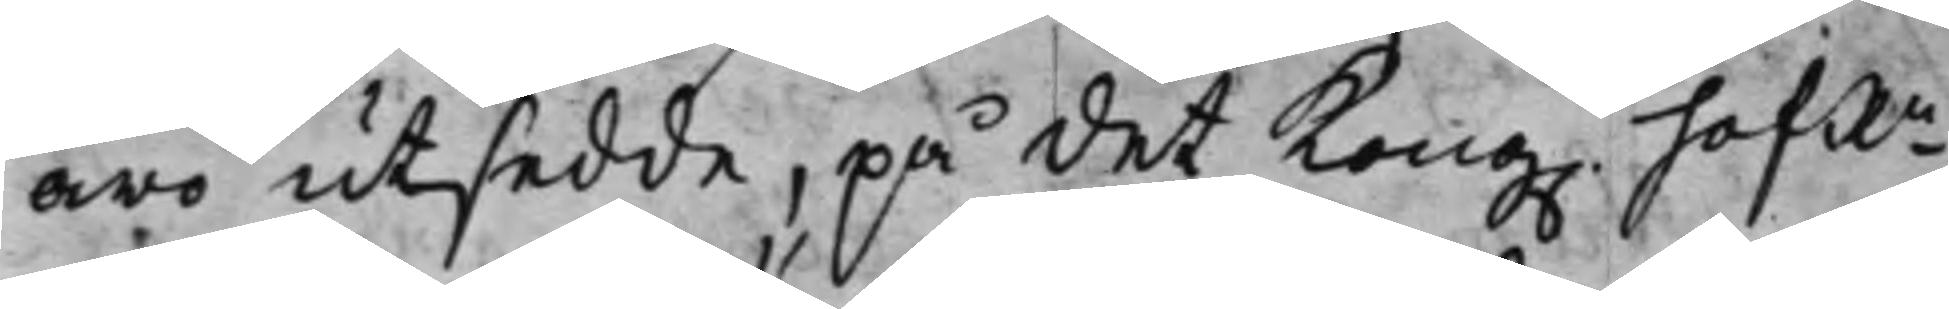äro utsedde, på det Kong. hofRn
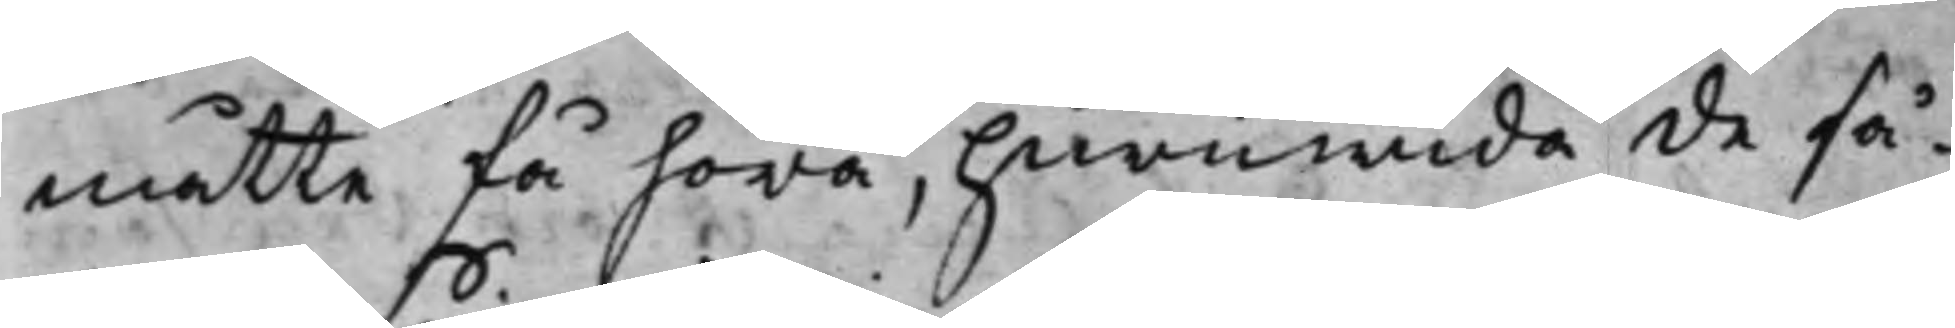måtte få höra, Huruwida de så¬
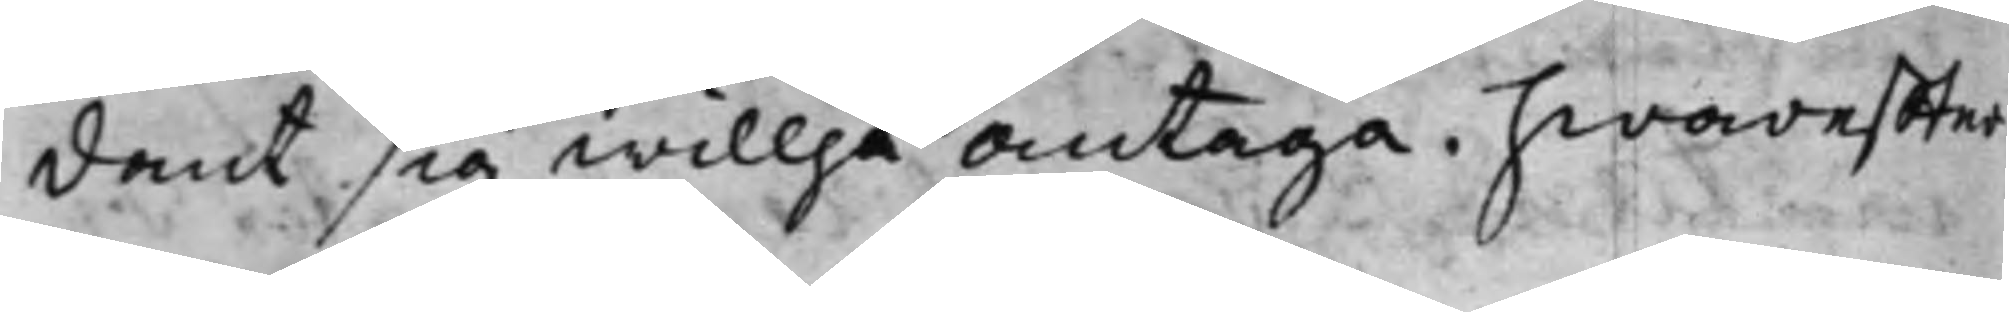dant sig willja antaga. hwareffter
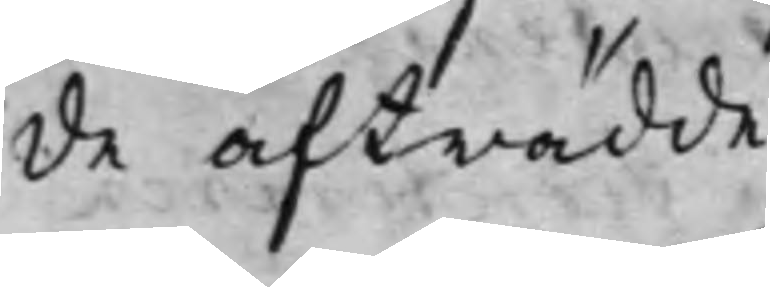de afträdde.
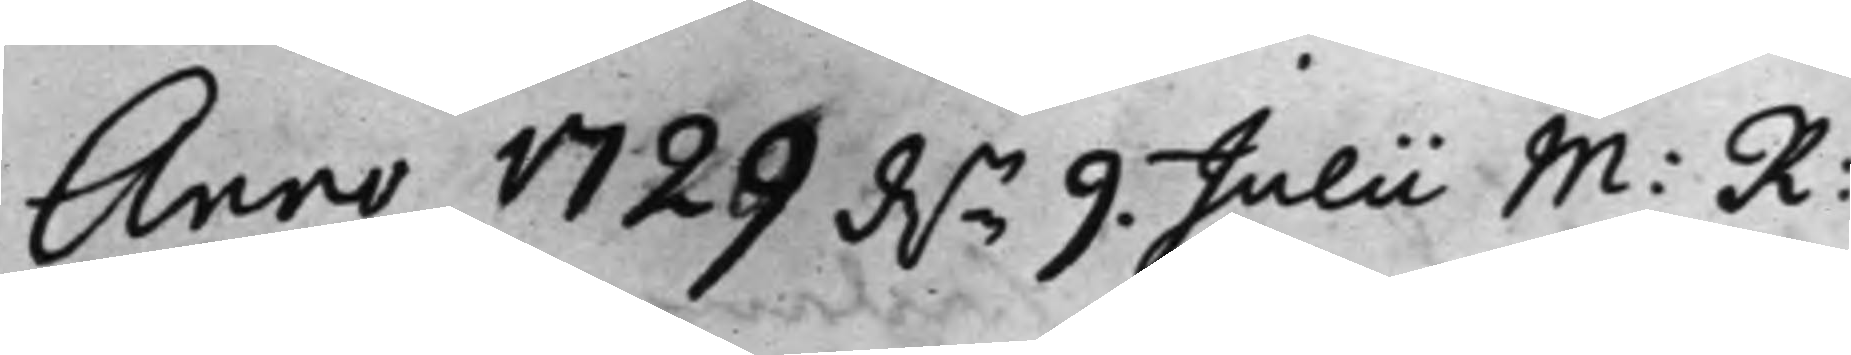Anno 1729 d.n 9 Julii M: R:
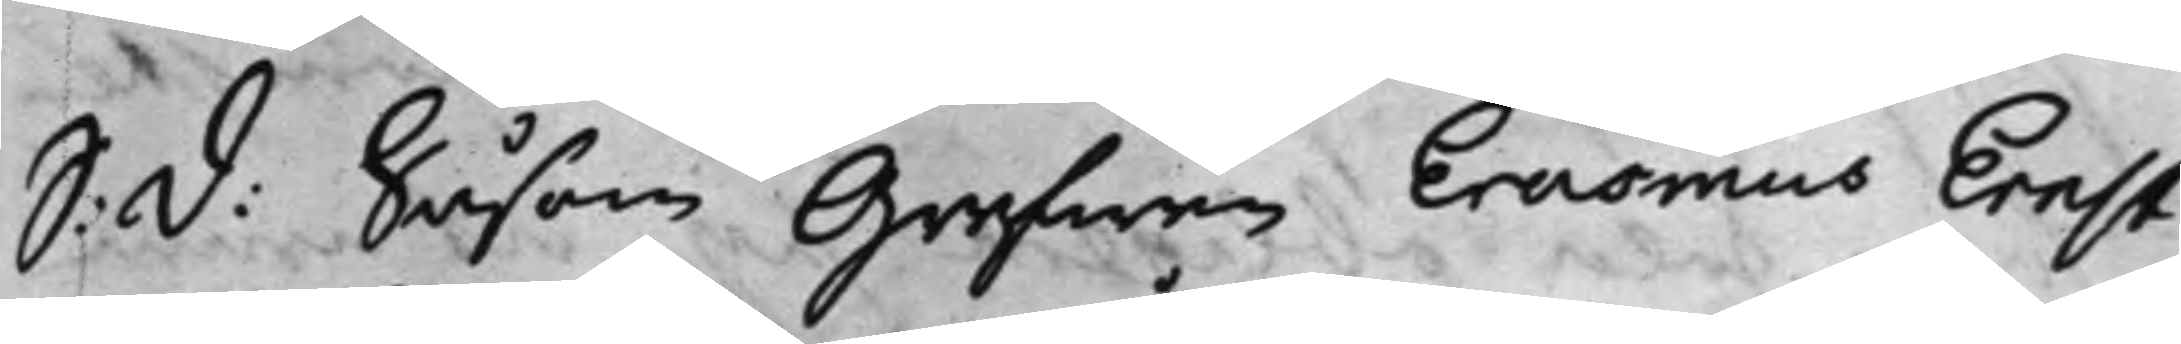S: d: Såsom Grefwen Erasmus Ernst
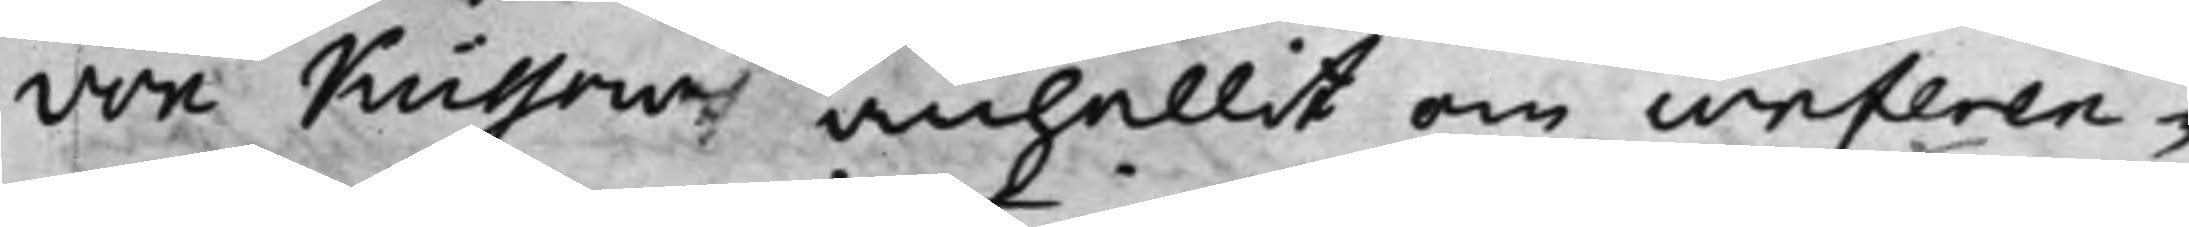von Küssow anhållit om conferen¬
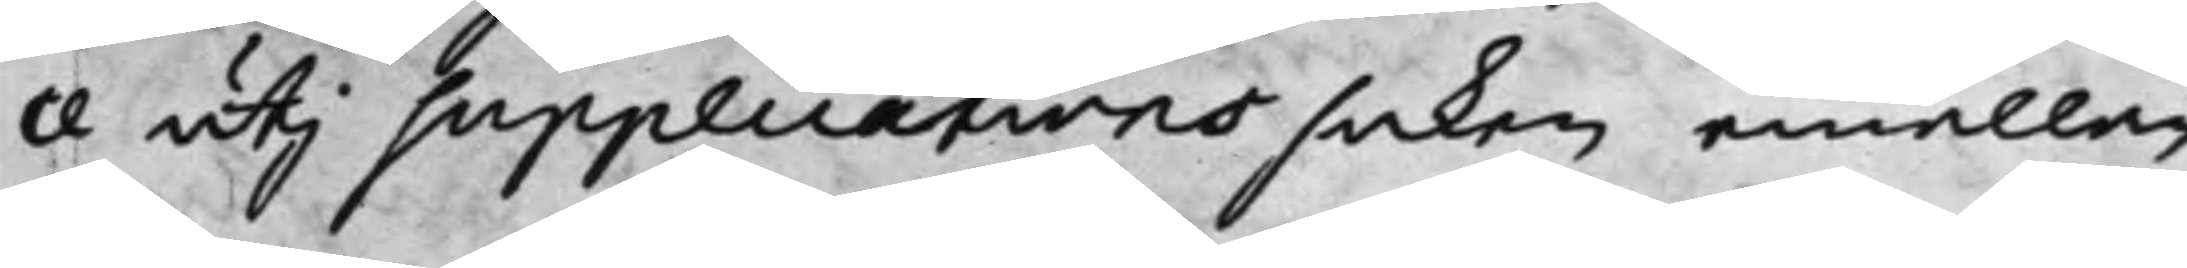ce utj supplications saken emellan
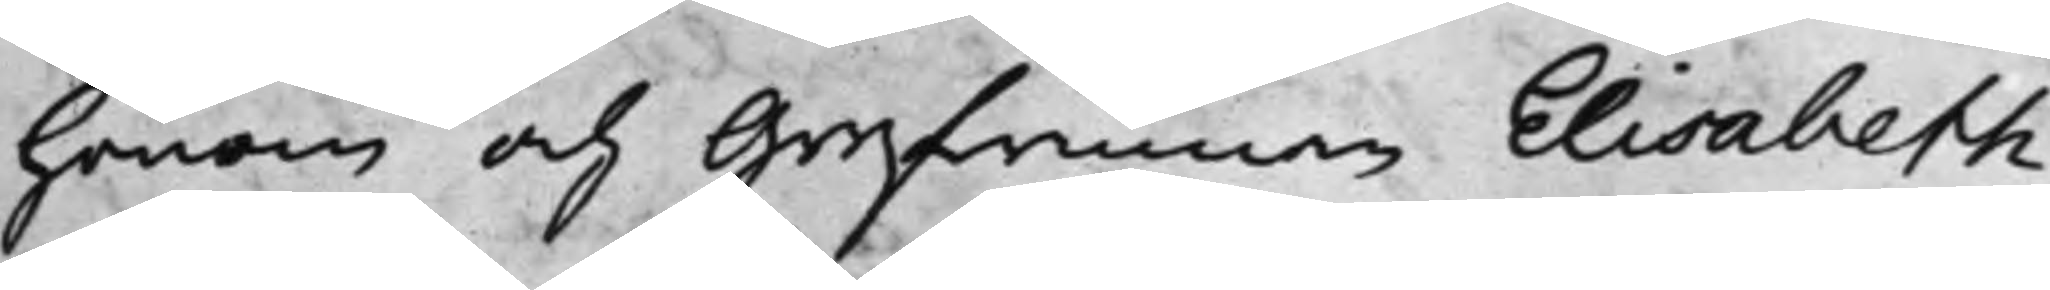honom och Grefwinnan Elisabeth
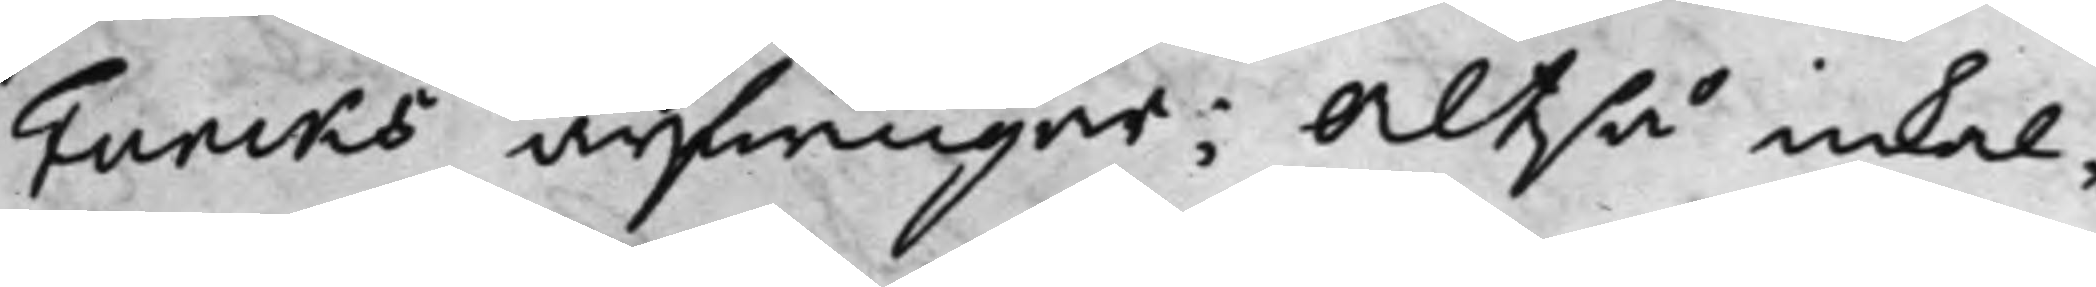Funcks arfwingar; Altså inkal¬
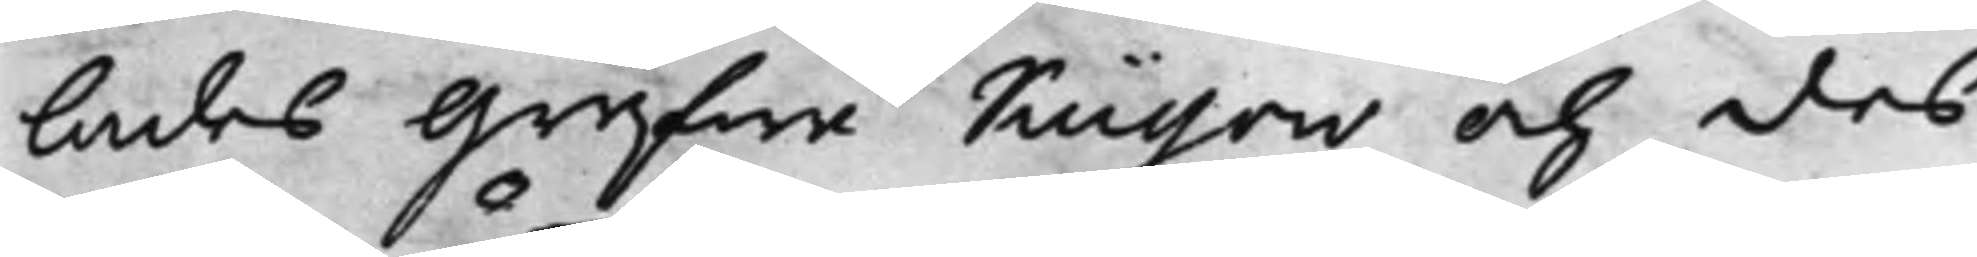lades Grefwe Küssow och des
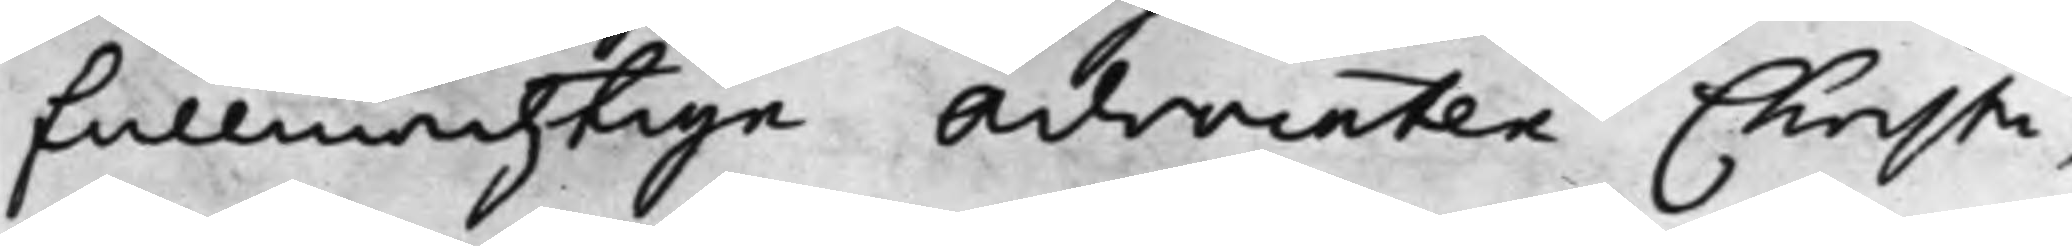fullmächtige Advocaten Christi¬
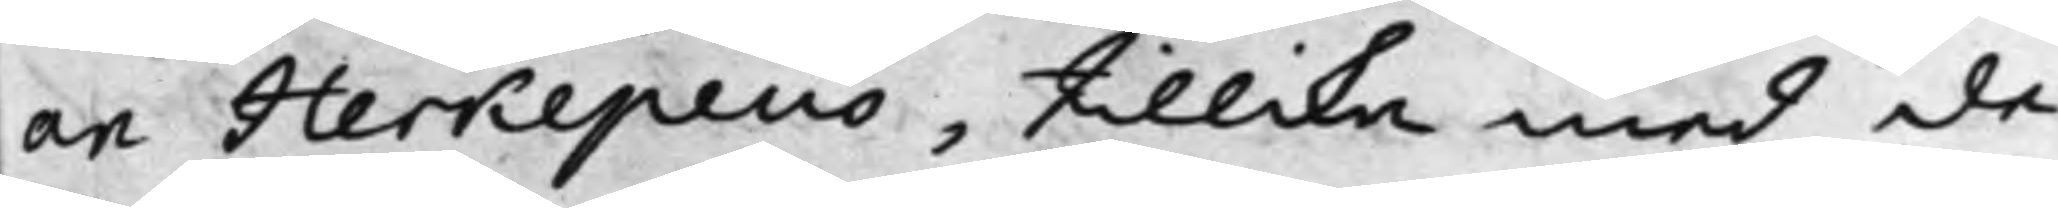an Herkepeus, tillika med de
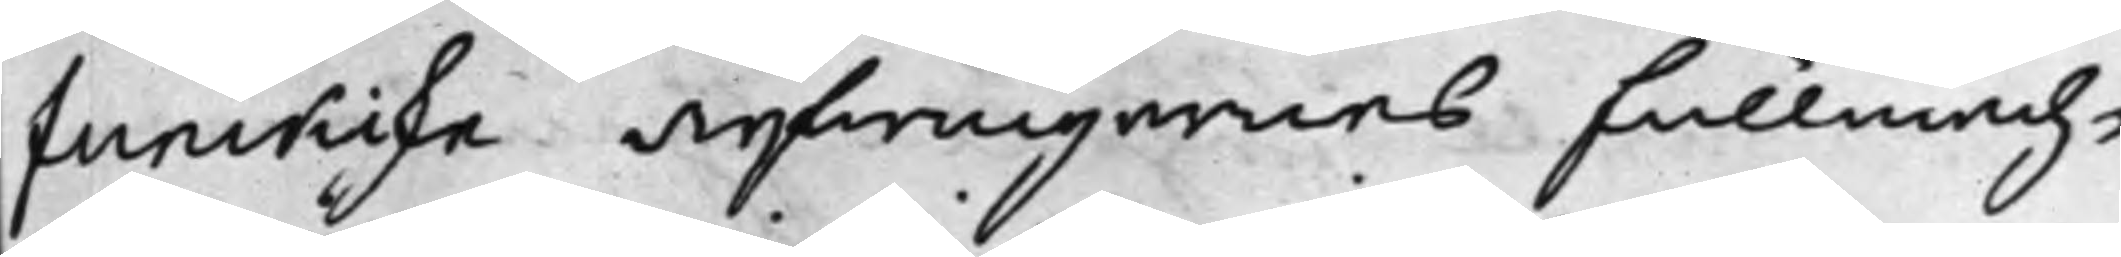funckiske arfwingarnes Fullmäch¬
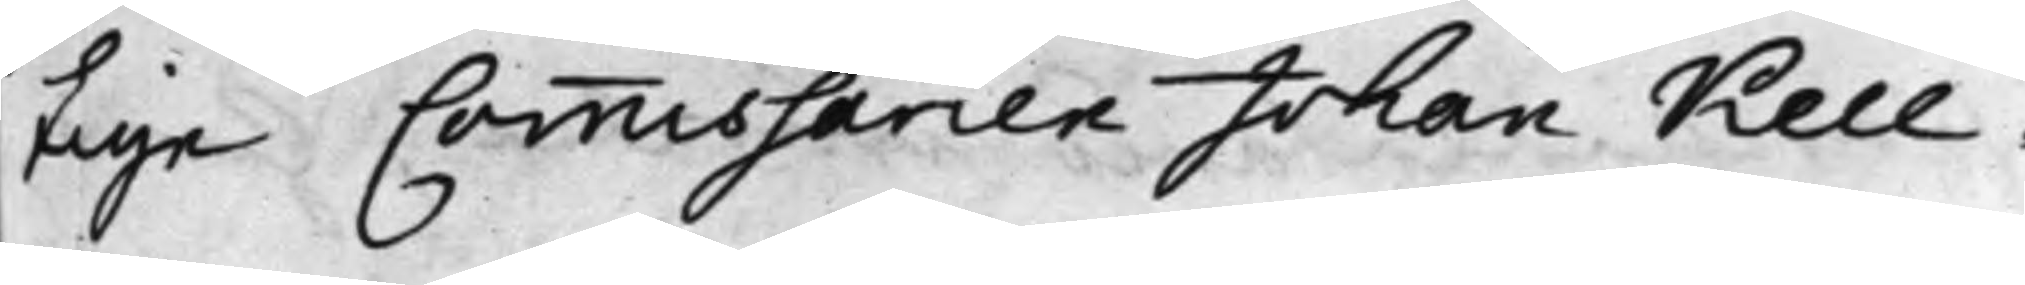tige Commissarien Johan Kell¬
